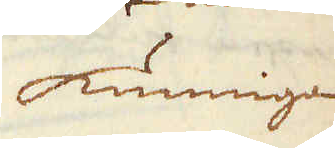kunniga
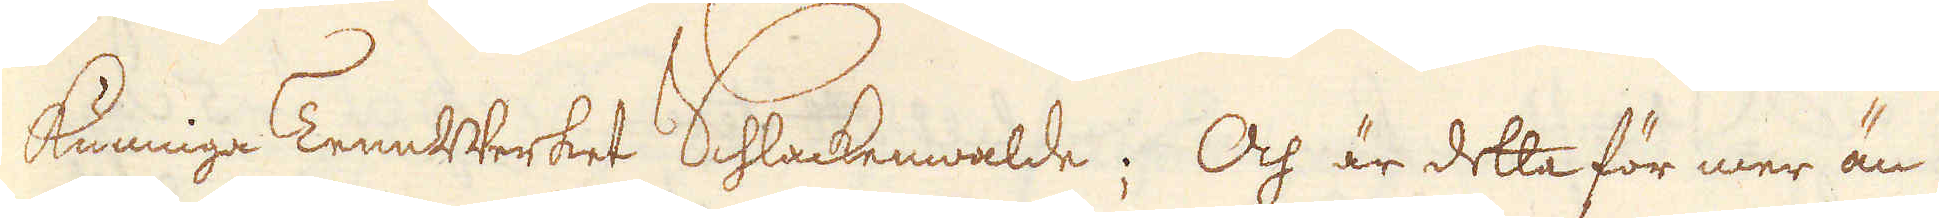kunnga TennBruket Schlackenwalde; Och är detta för mer än
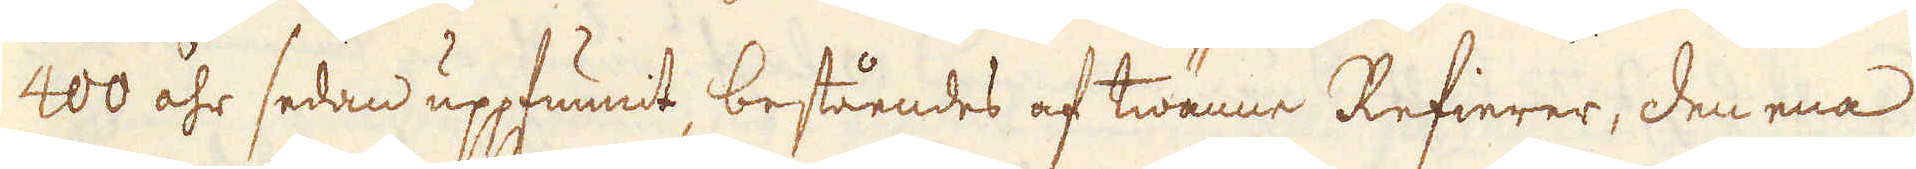400 åhr sedan uppfunnit, beståendes af twänne Refierer, den ena
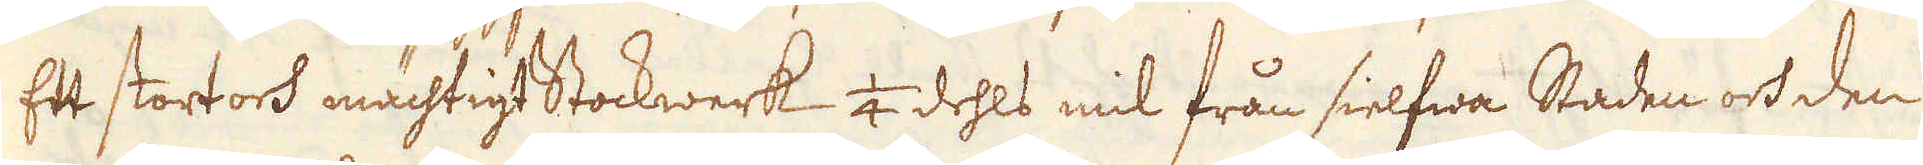Ett stort och mächtigt Stockwerk 1/4 dehls mil från sielfwa Staden och den
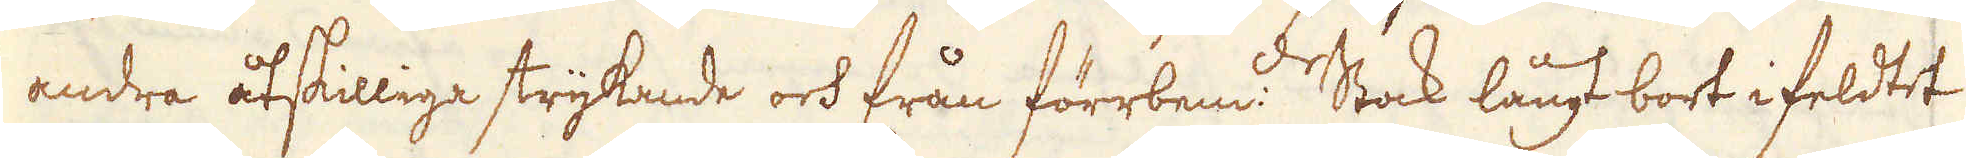andra åtskilliga strykande och från förrbem:de Stock långt bort i feldtet
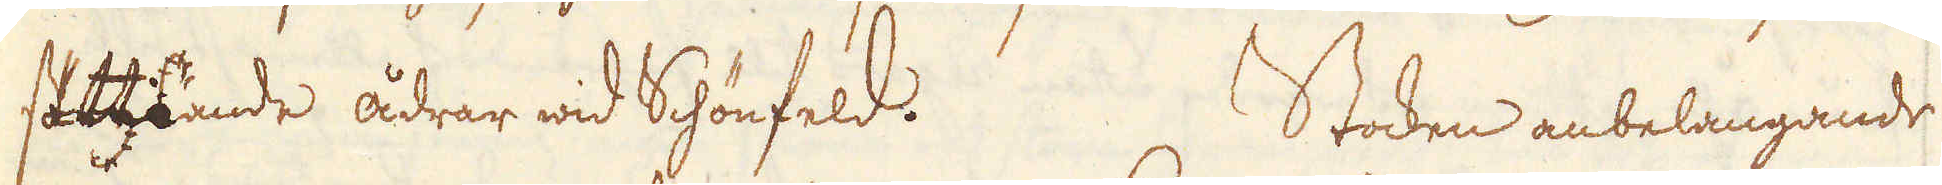sättande ådrar wid Schönfeld. Stocken anbelangande
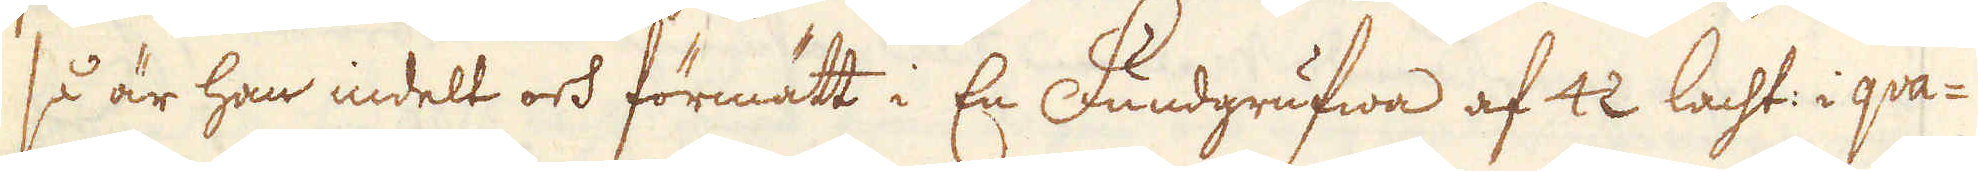så är han indelt och förmätt i En Fundgrufwa af 42 lacht: i qva-
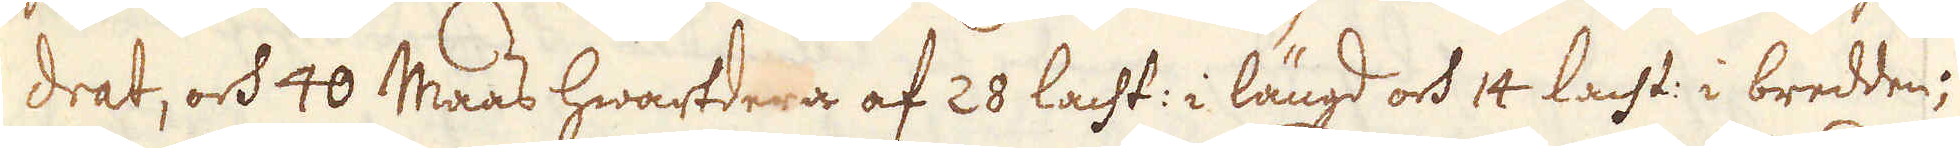drat, och 40 Maas hwartdera af 28 lacht: i längd och 14 lacht: i bredden;
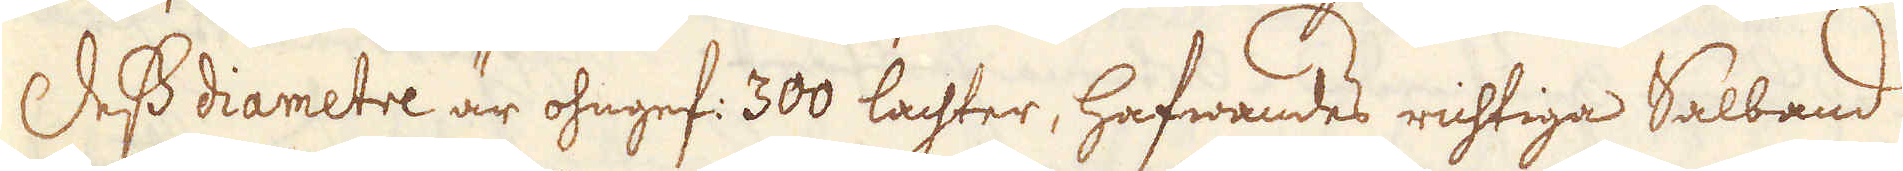Dess diametre är ohngef: 300 lachter, hafwandes richtiga Salband
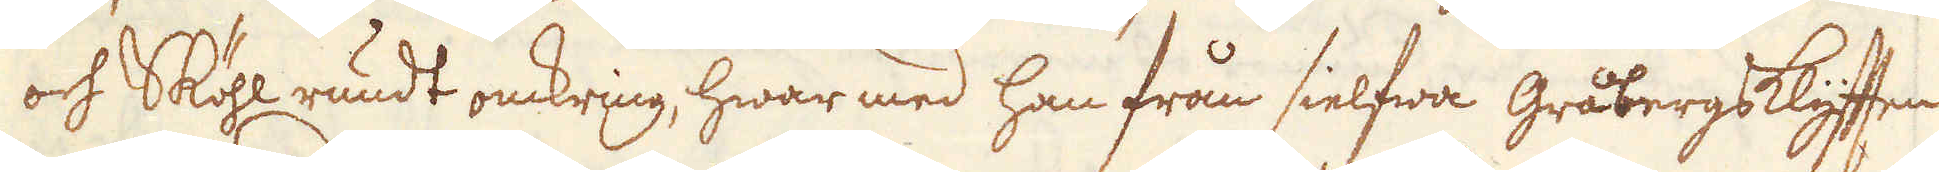och Sköhl rundt omkring, hwar med han från sielfwa Gråbergsklyften
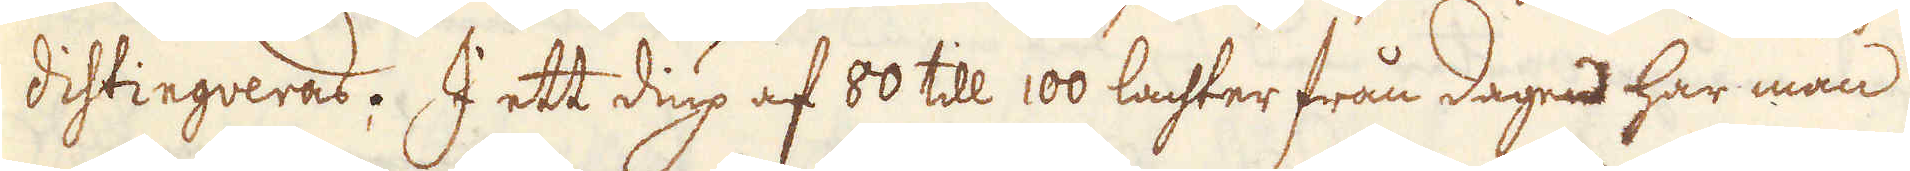distingueras. I ett diup af 80 till 100 lachter från dagen har man
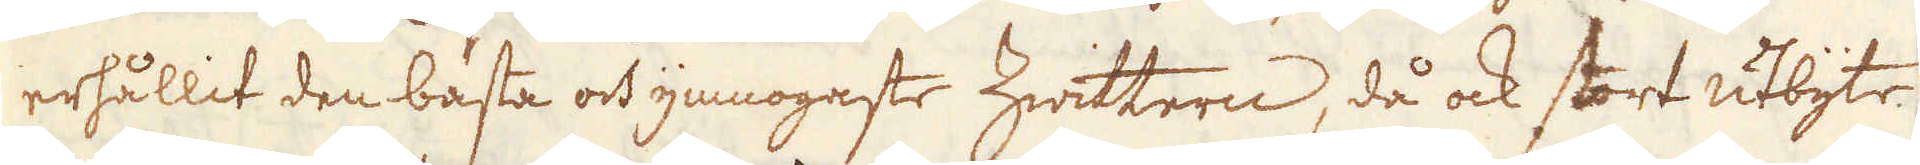erhållit den bästa och ymnogaste hwittern, då ock stort utbyte
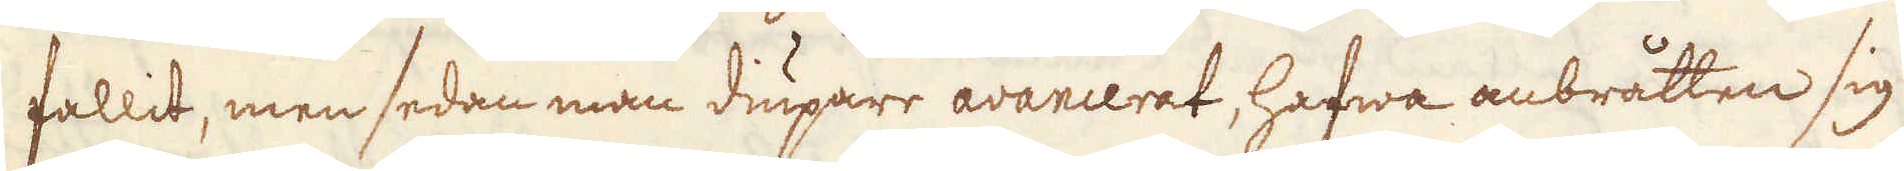fallit, men sedan man diupare avancerat, hafwa anbråtten sig
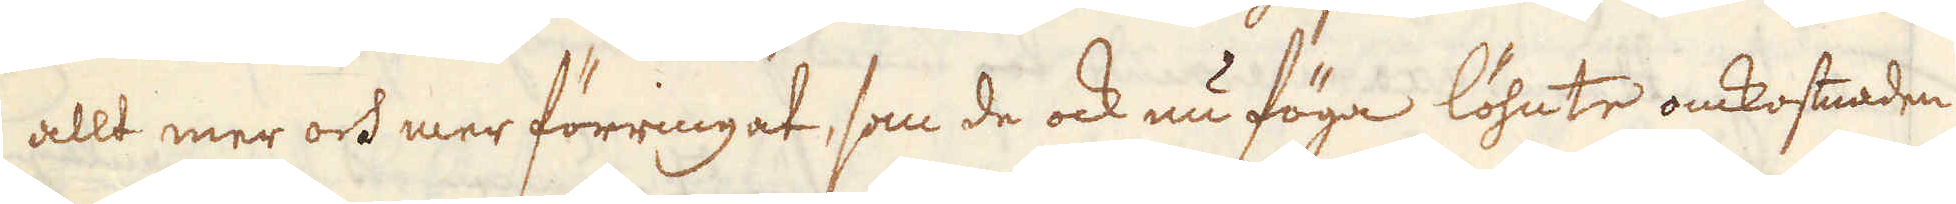allt mer och mer förringat, som de ock nu föga löhnte omkosnaden
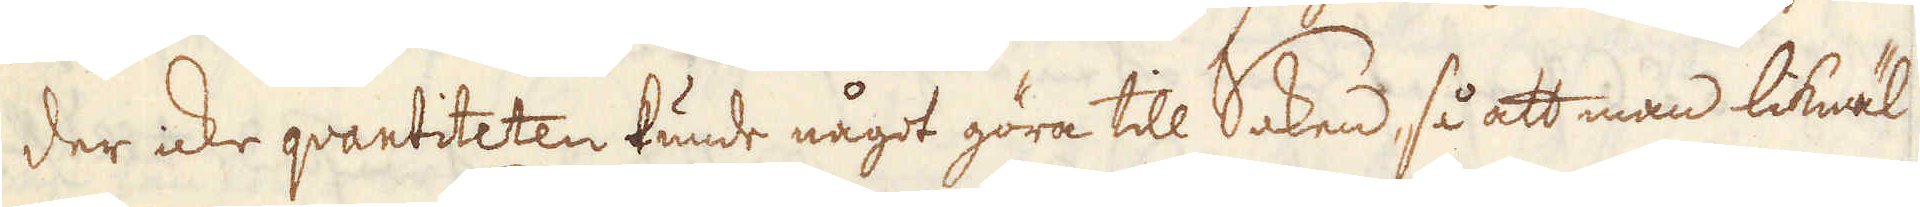der icke qvantiteten kunde något göra till Saken, så att man likwäl
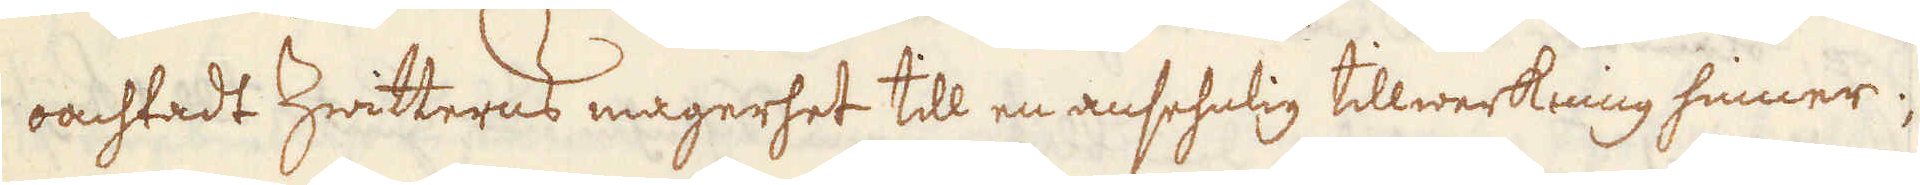oachtadt Zwitterns magerhet till en ansehnlig tillwerkning hinner.
